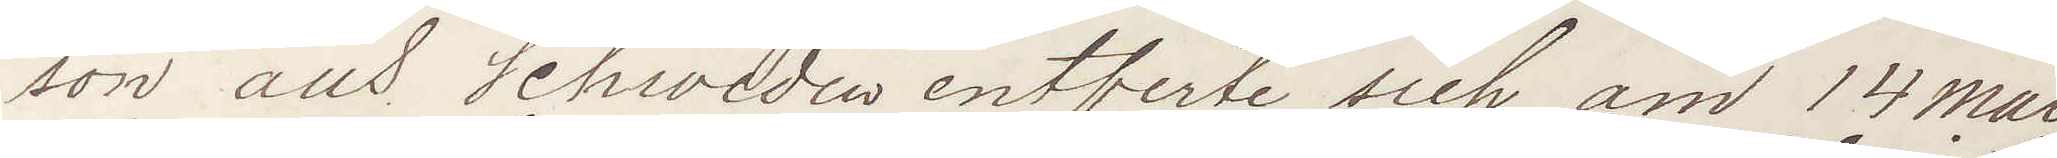son aus Schweden antferte sich am 14 Mai
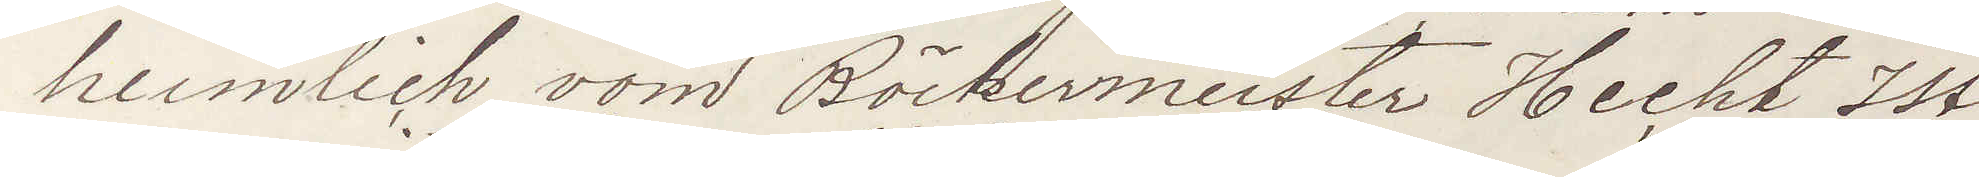heimlich vom Böckermeister Hechts Ist
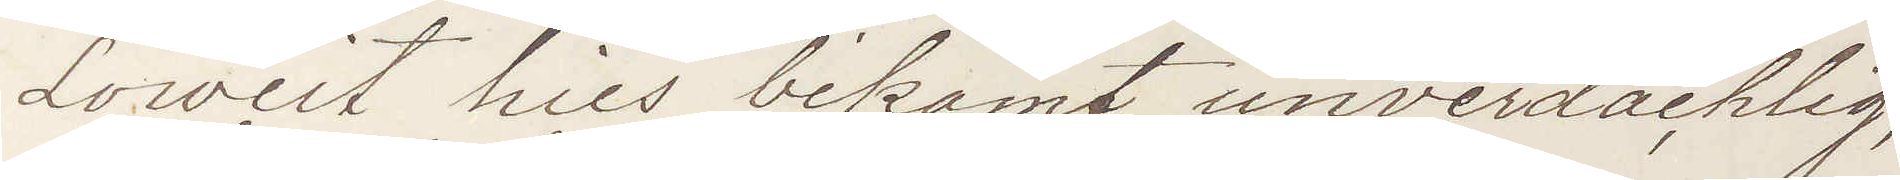Loweit hies bekomt unverdächlig
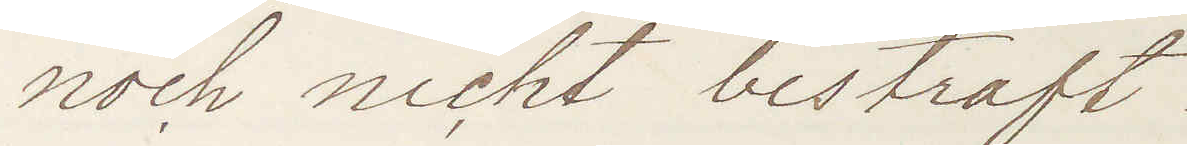noch nicht bestraft
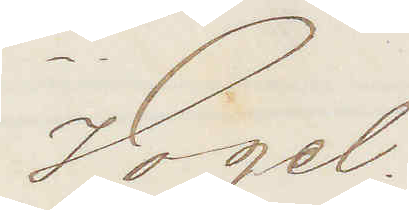Vogel.
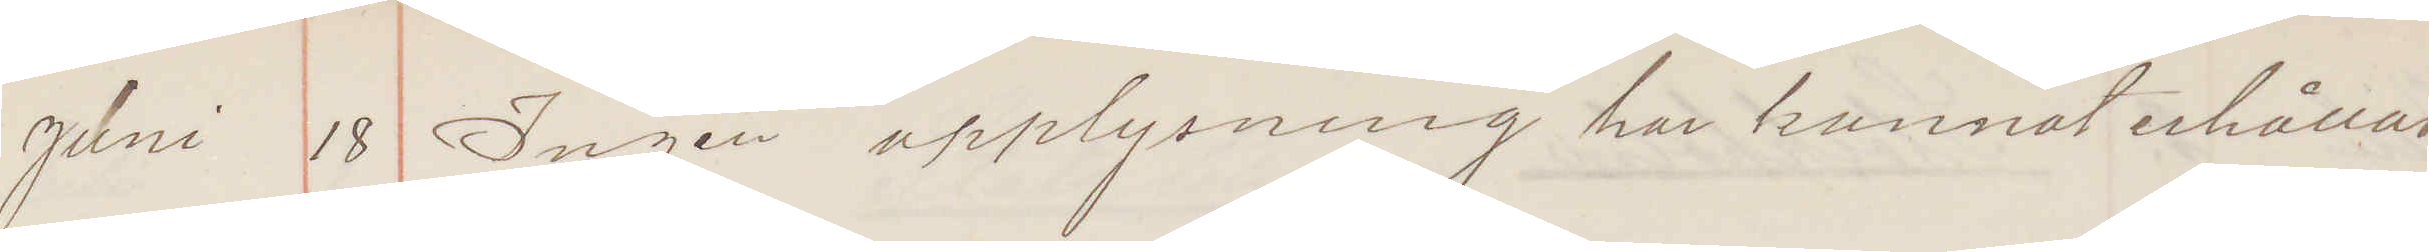Juni 18 Ingen upplysning har kunnat erhållas
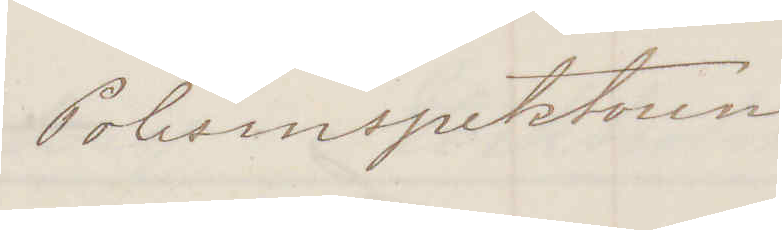Polisinspektorn
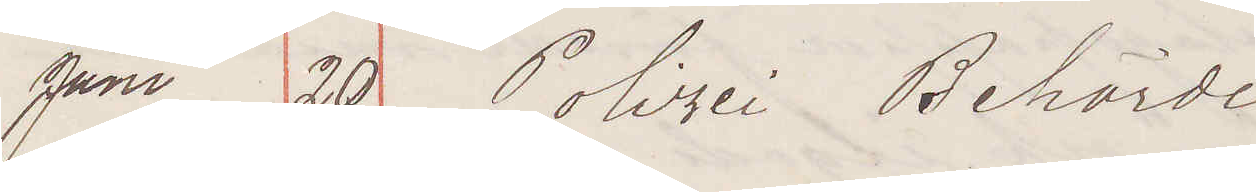Juni 20 Polizei Behörde
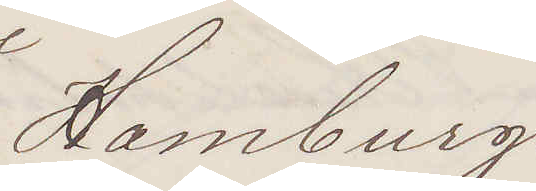Hamburg.
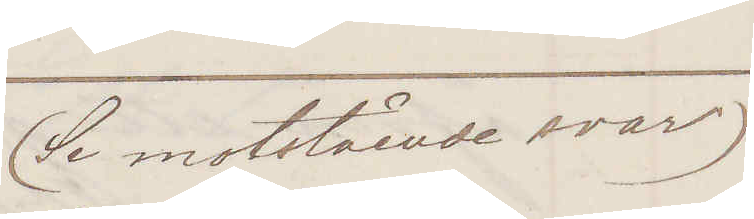(Se motstående svar)
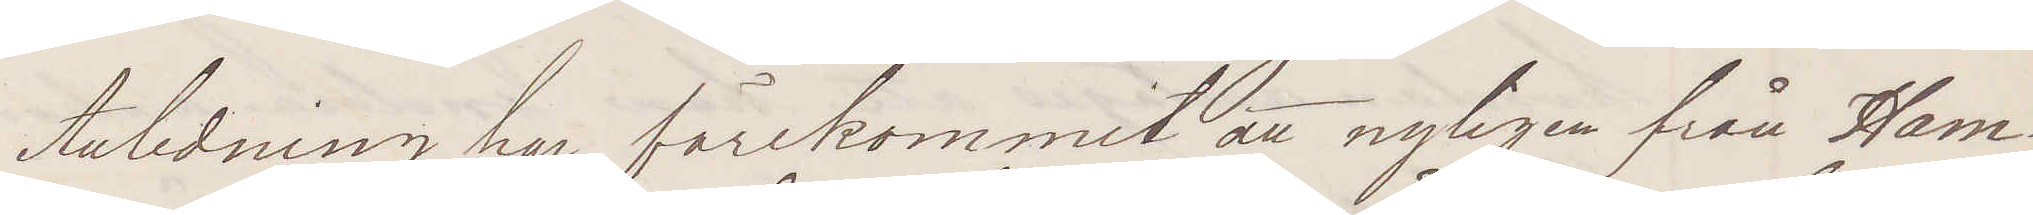Anledning har förekommit att nyligen från Ham¬
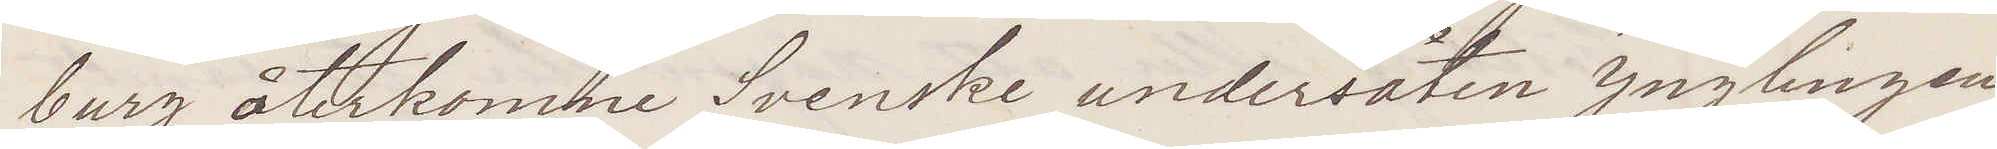burg återkomne Svenske undersåten Ynglingen
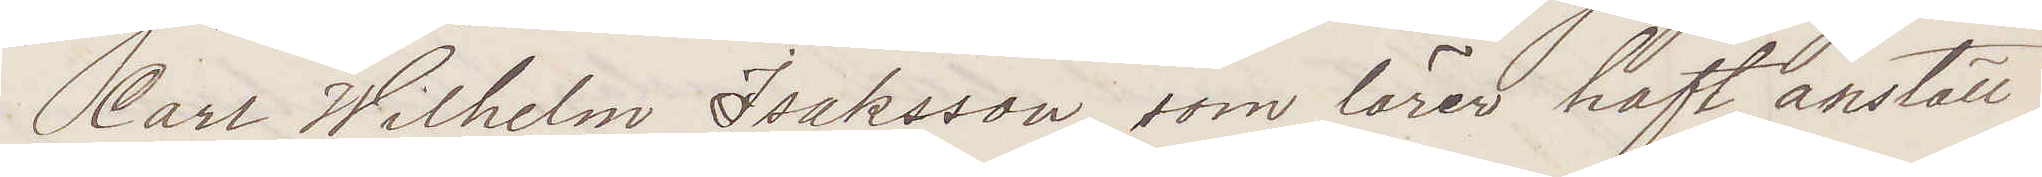Carl Wilhelm Isaksson som lärer haft anställ¬
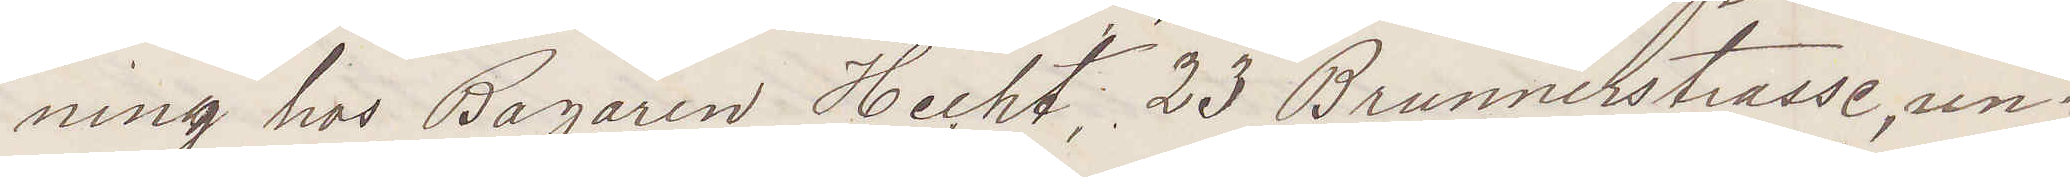ning hos Bagaren Hecht 23 Brunnerstrasse un¬
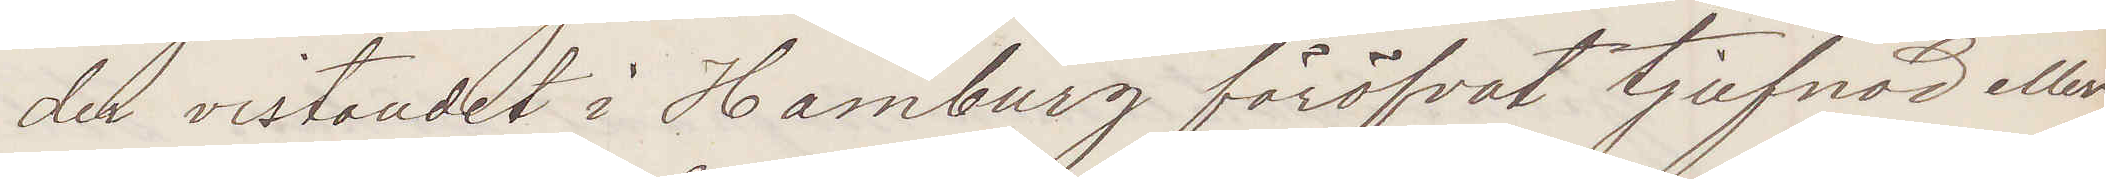der vistandet i Hamburg föröfvat tjufnad eller
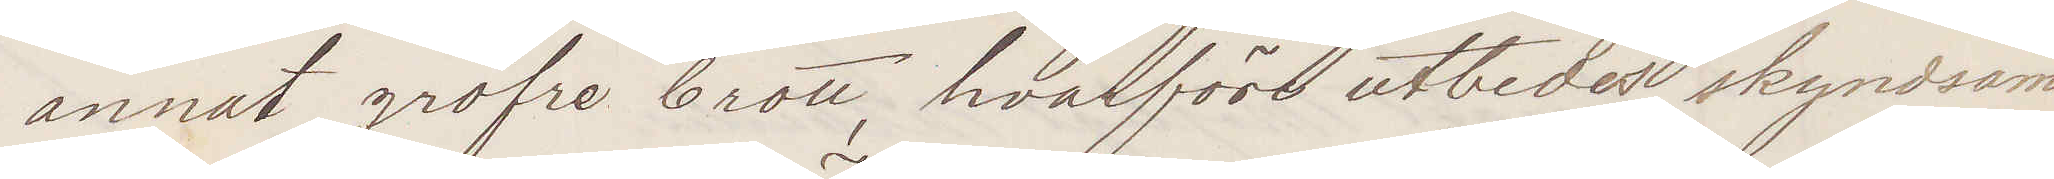annat gröfre brott hvarföre utbedes skyndsam
